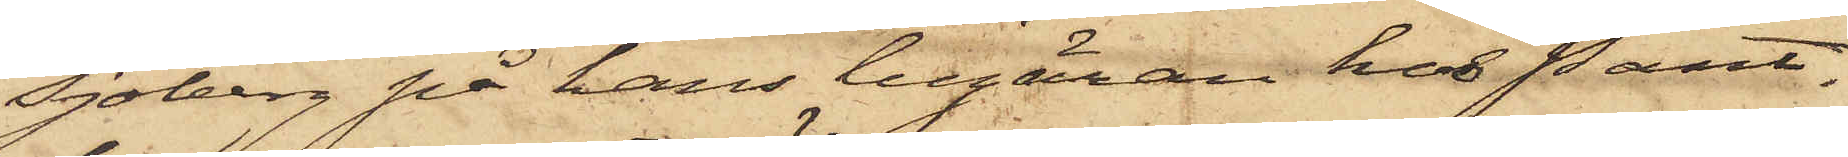Sjöberg på hans begäran hos Pant¬
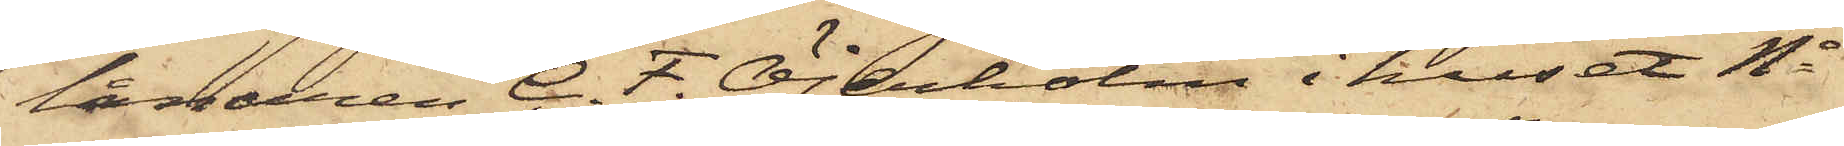lånaren C. F. Öjerholm i huset No
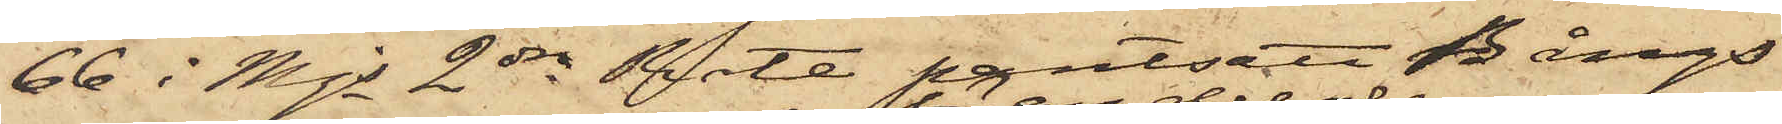66 i Mjs 2dra Rote pantsatt Bångs
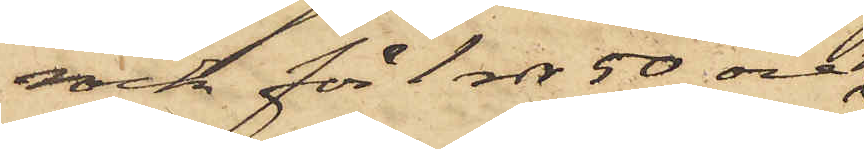rock för 1 rdr 50 öre,
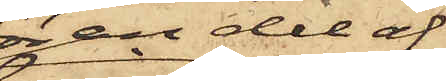för en del af
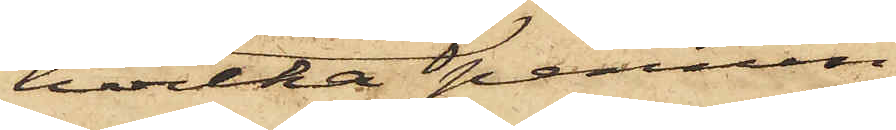vilka pennin¬
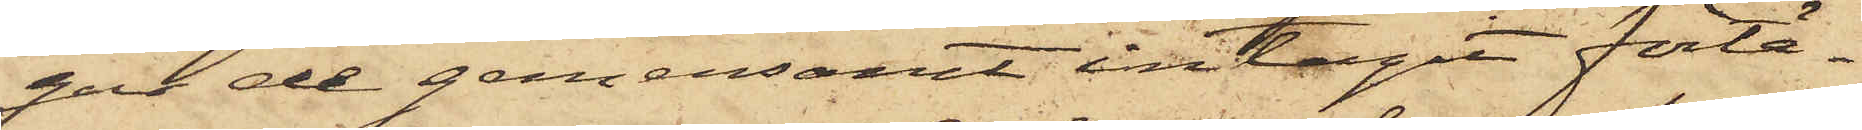gar de gemensamt intagit förtä¬
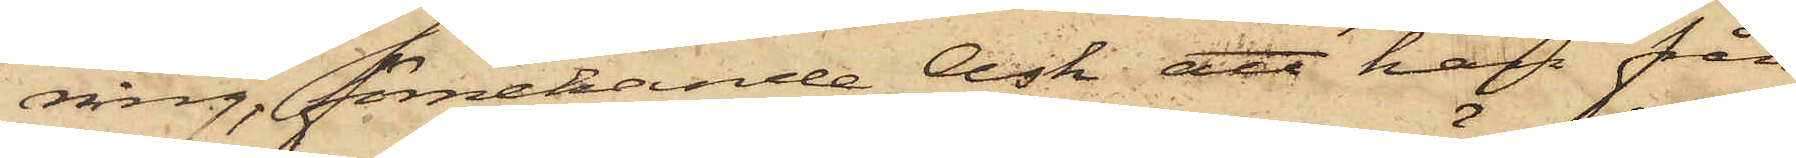ning, förnekande Ask att han från
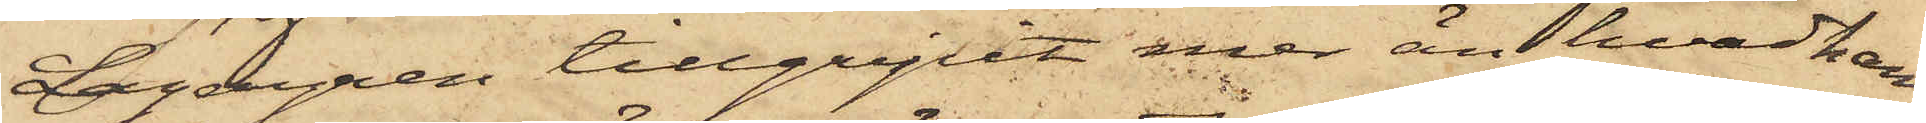Lagergren tillgripit mer än hvad han
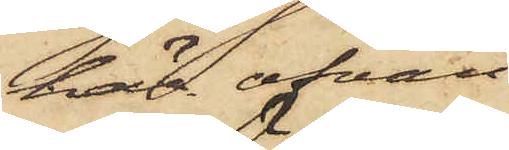här ofvan
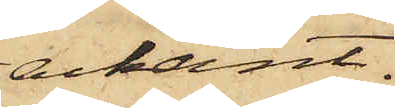erkänt.
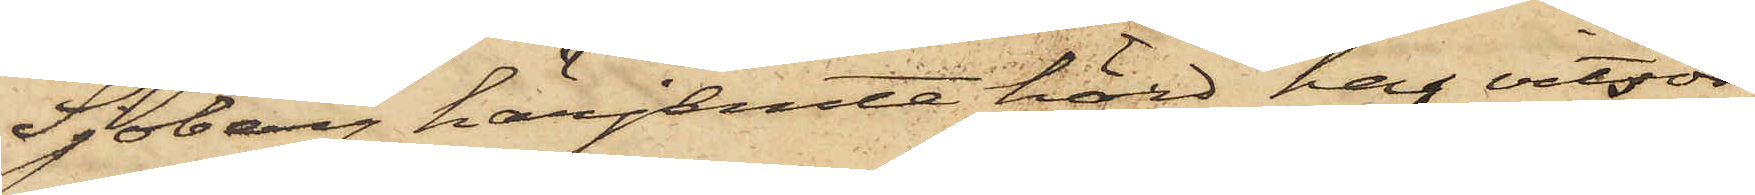Sjöberg härjemte hörd har vitsor¬
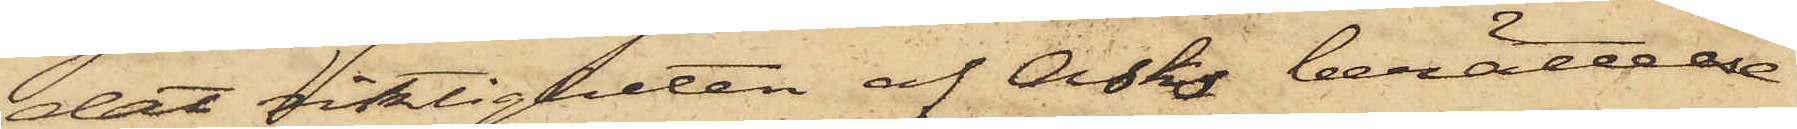dat riktigheten af Asks berättelse
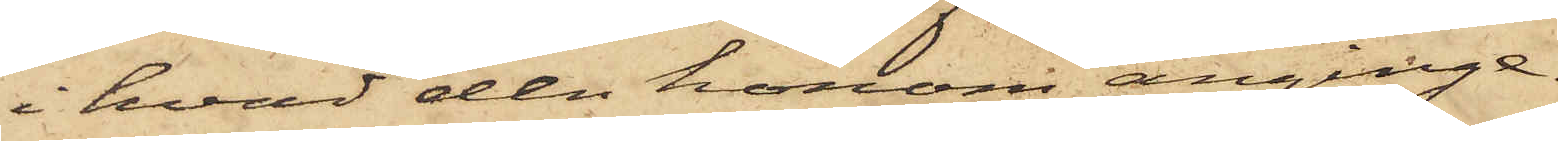i hvad den honom anginge.
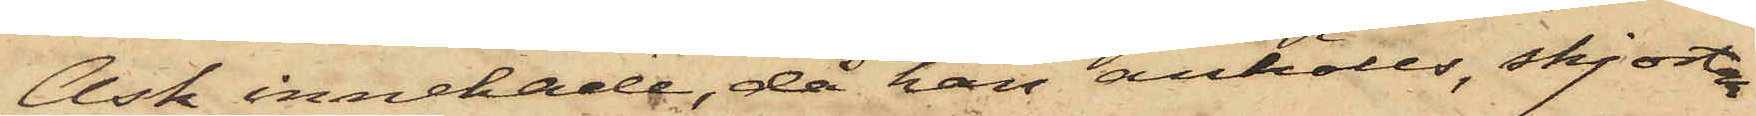Ask innehade, då han anhölls, skjortan
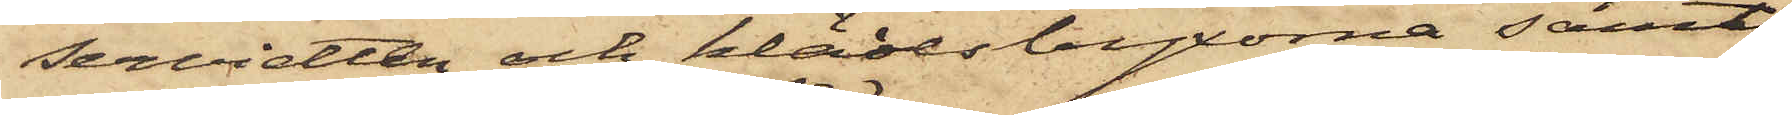servietten och klädesbyxorna samt
